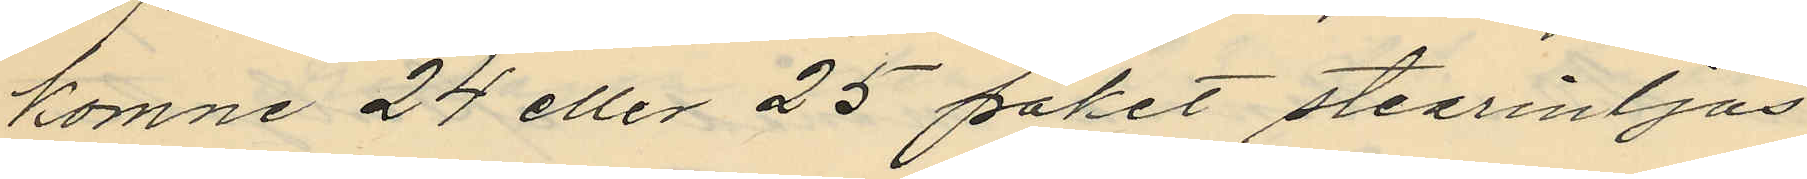komne 24 eller 25 paket stearintjås
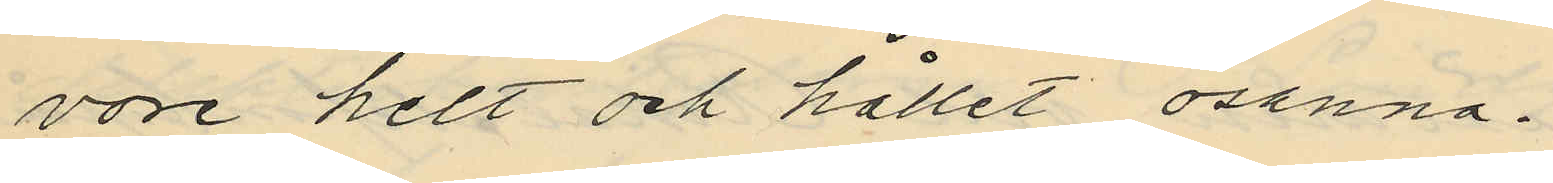vore helt och hållet osanna.
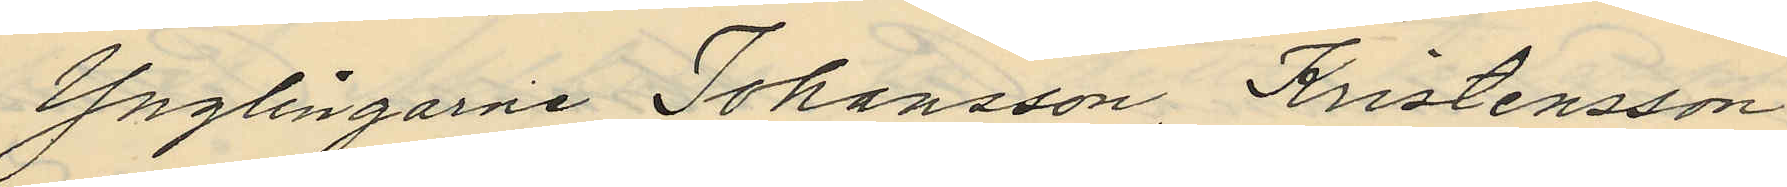Ynglingarne Johansson Kristensson
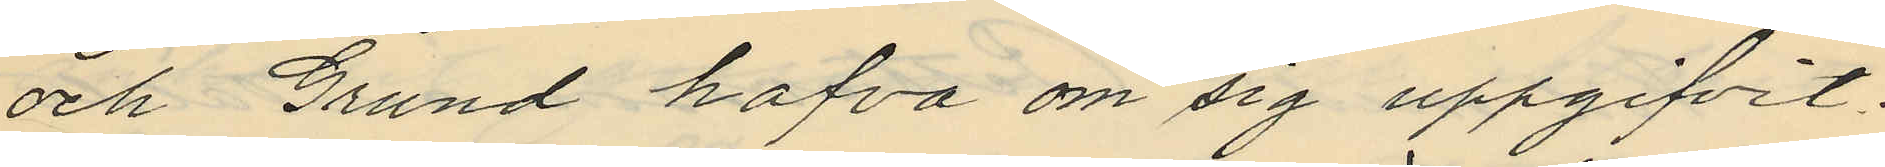och Grund hafva om sig uppgifvit:
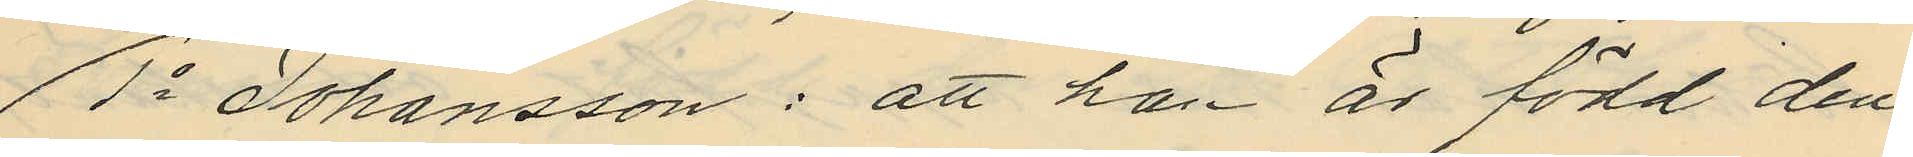1o Johansson: att han är född den
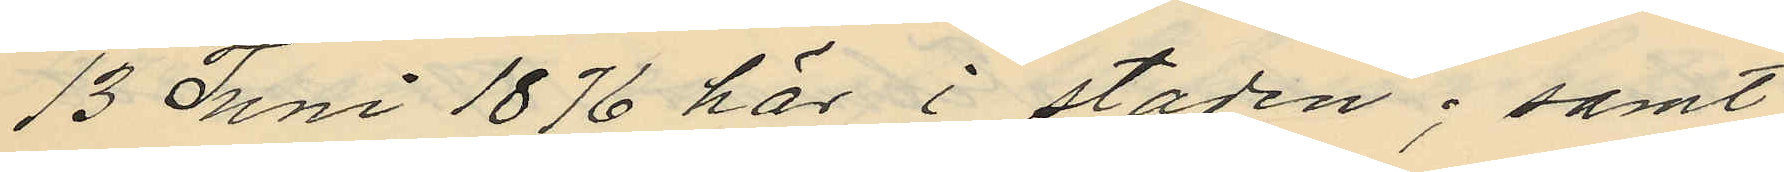13 Juni 1876 här i staden; samt
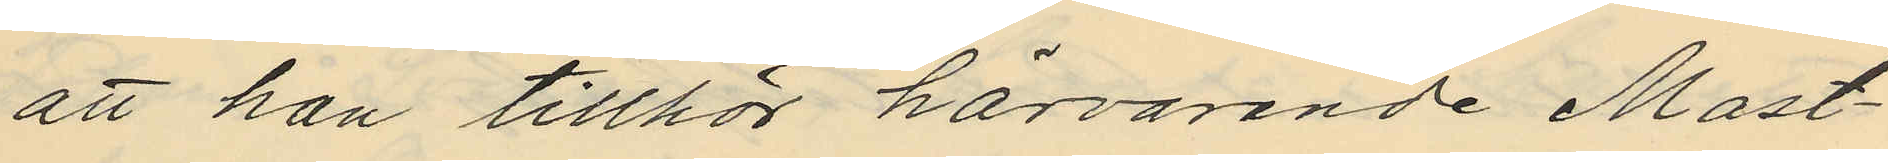att han tillhör härvarande Mast¬
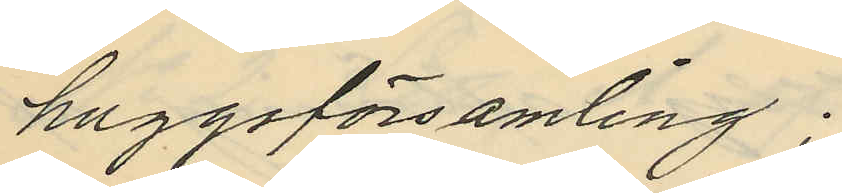huggsförsamling.
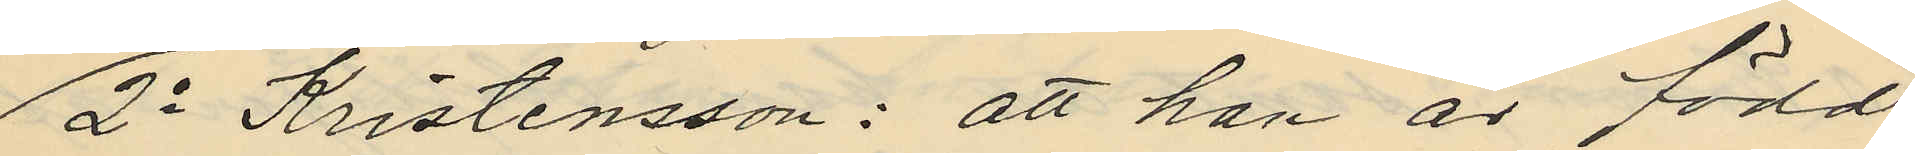2o Kristensson: att han är född
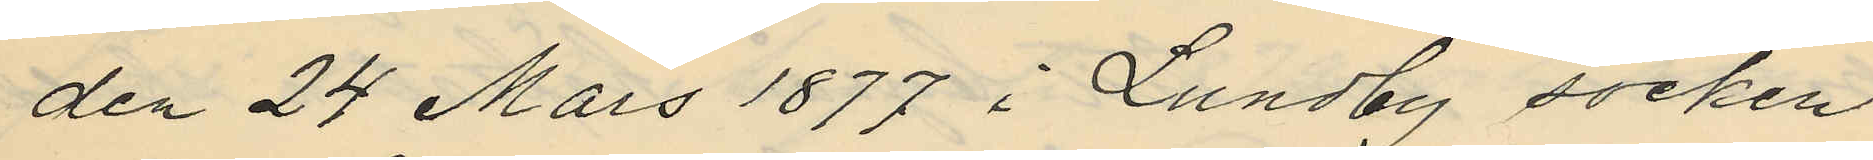den 24 Mars 1877 i Lundby socken
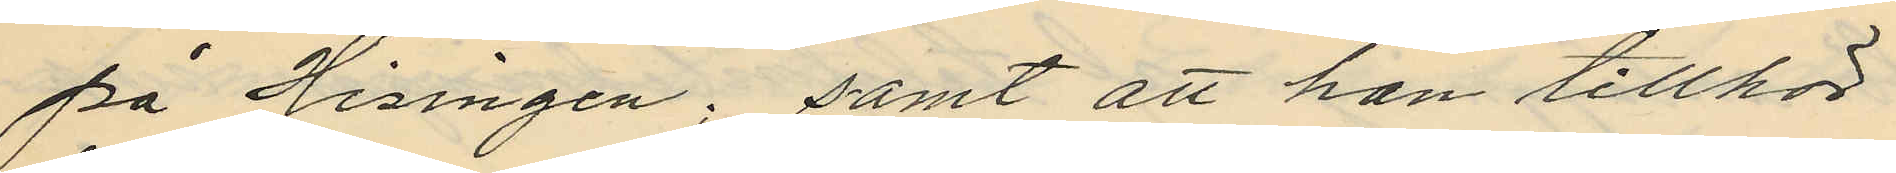på Hisingen; samt att han tillhör
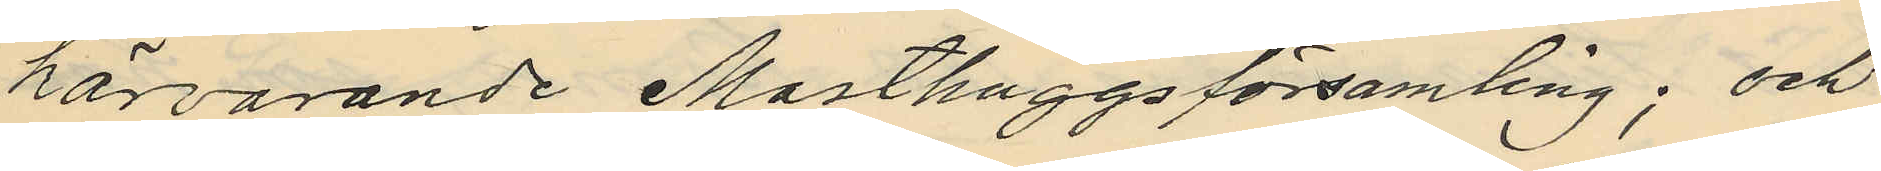härvarande Masthuggsförsamling; och
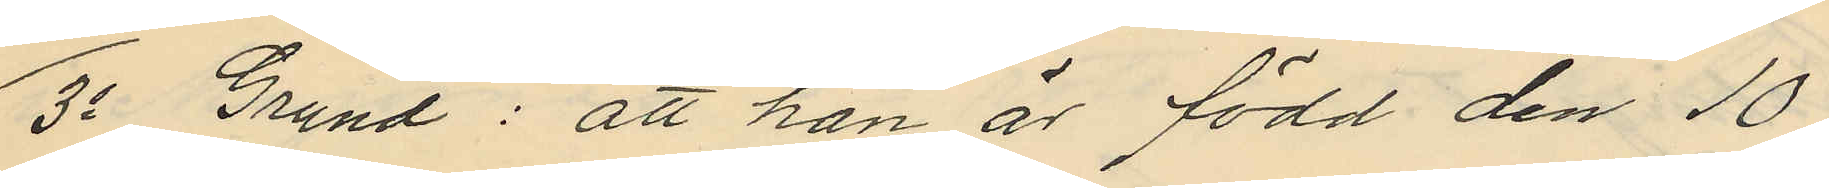3o Grund: att han är född den 10
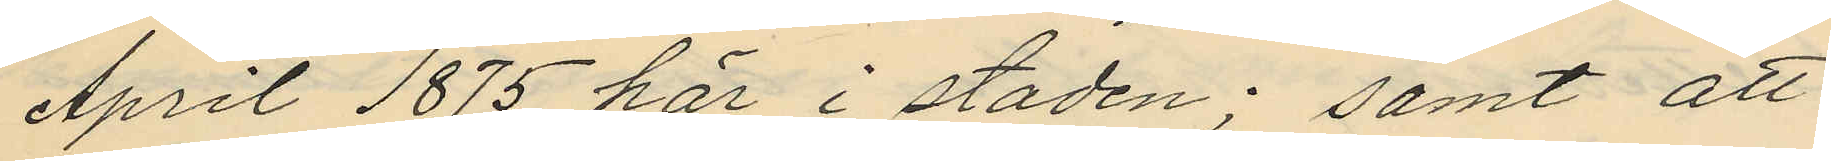April 1875 här i staden; samt att
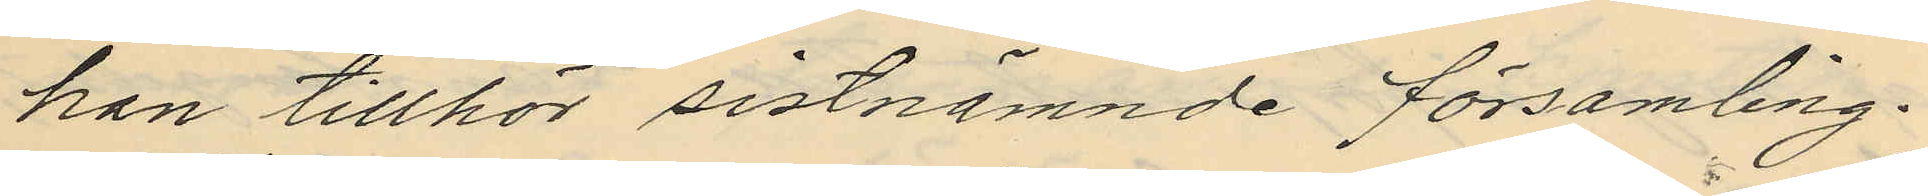han tillhör sistnämnde församling.
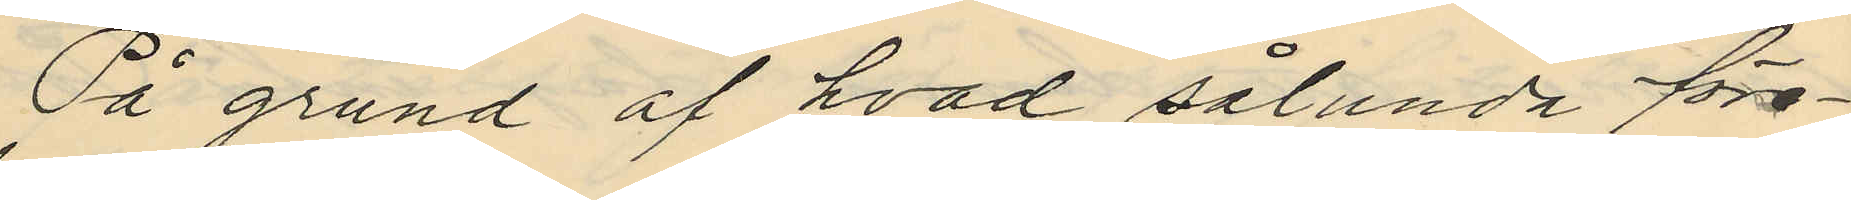På grund af hvad sålunda före¬
